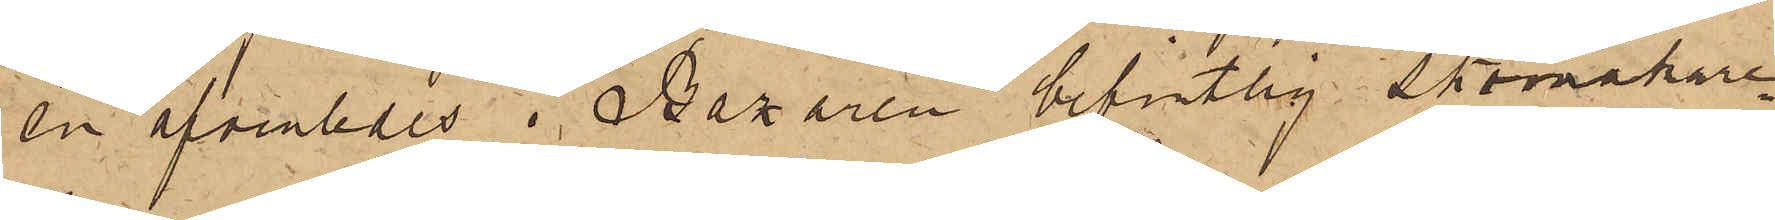en äfvenledes i Bazaren befintlig skomakare¬
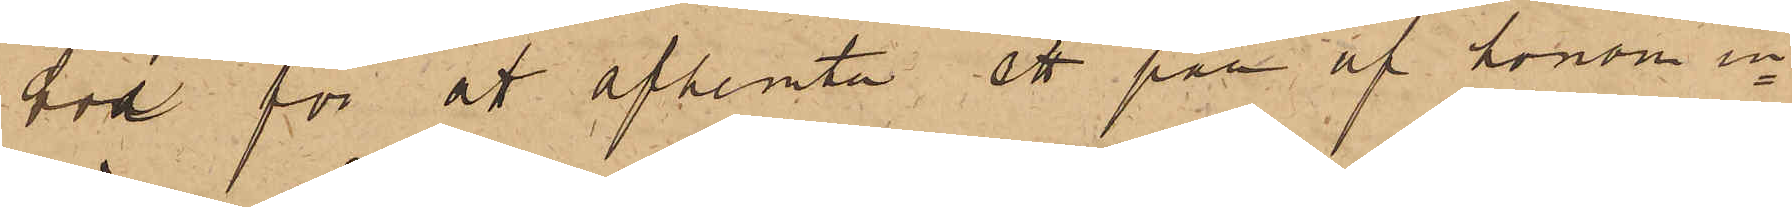bod för att afhemta ett par af honom in¬
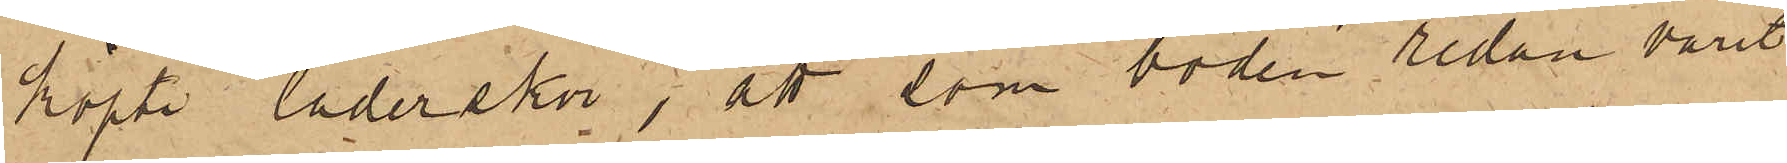köpte läderskor; att som boden sedan varit
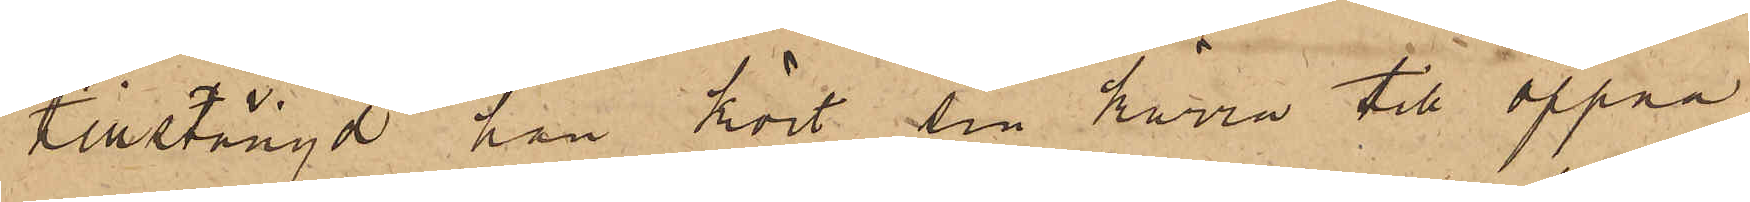tillstängd han kört sin kärra till öppna
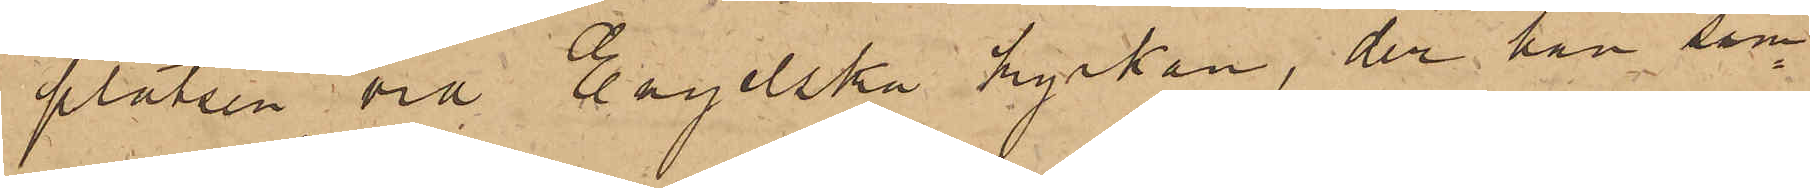platsen vid Engelska kyrkan, der han sam¬
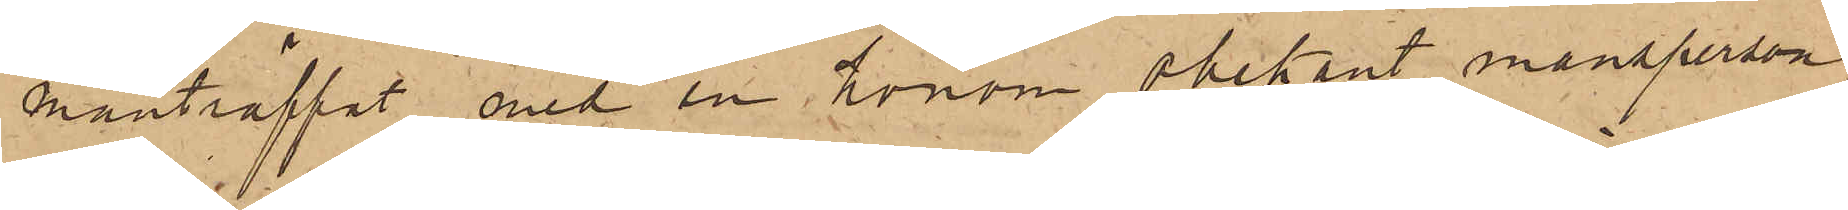manträffat med en honom obekant mansperson,
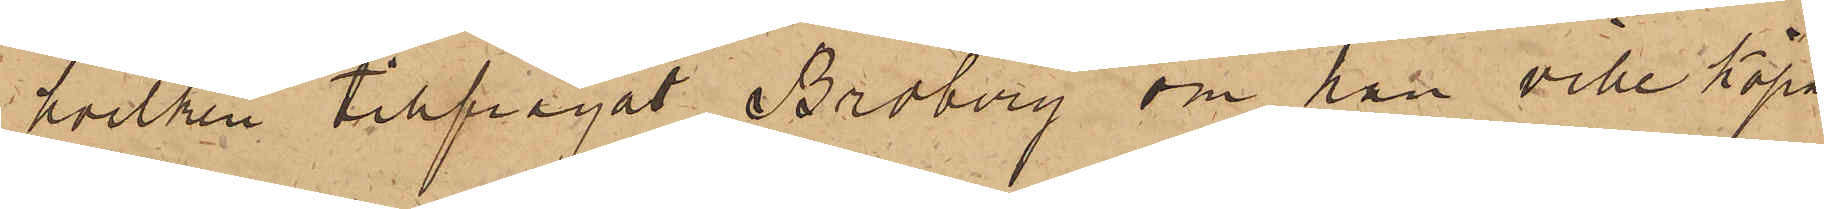hvilken tillfrågat Broberg om han icke köpa
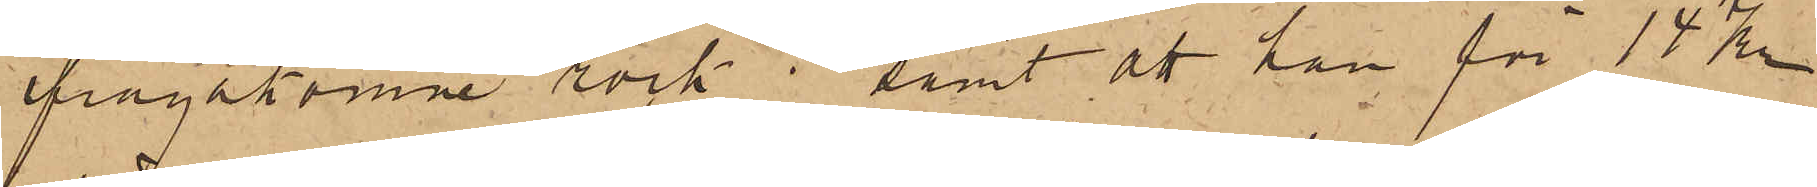ifrågakomne rock; samt att han för 14 kr
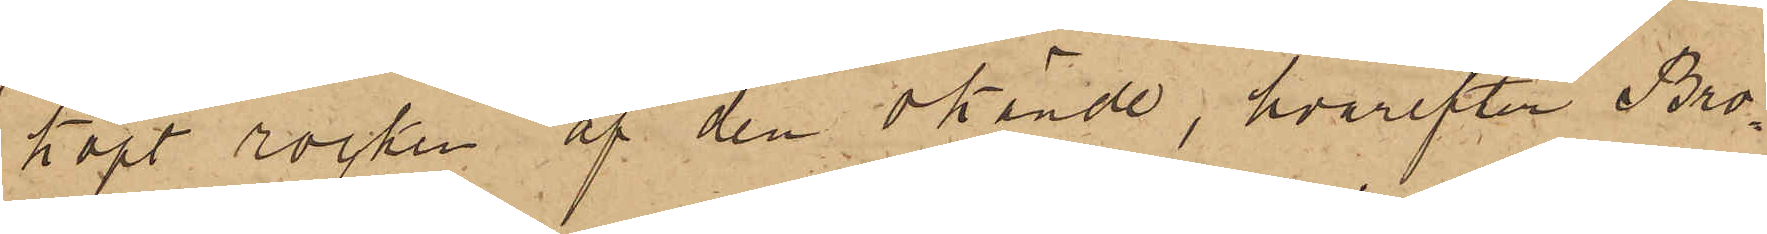köpt rocken af den okände, hvarefter Bro¬
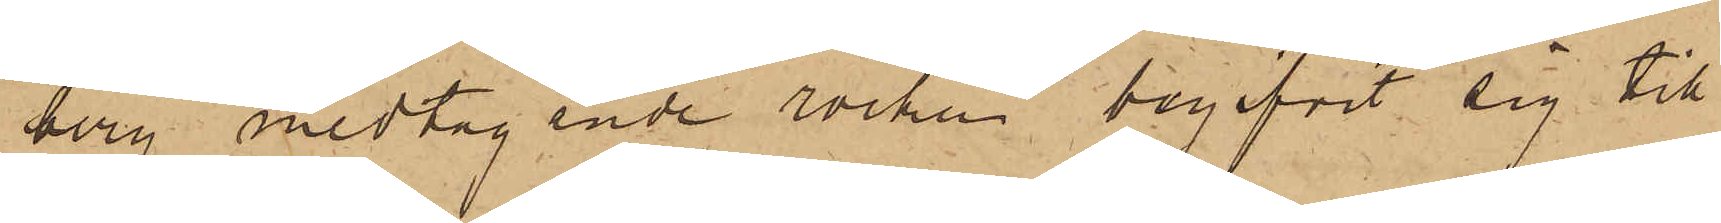berg medtagande rocken begifvit sig till
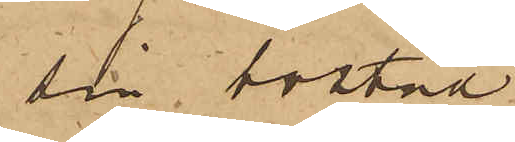sin bostad.
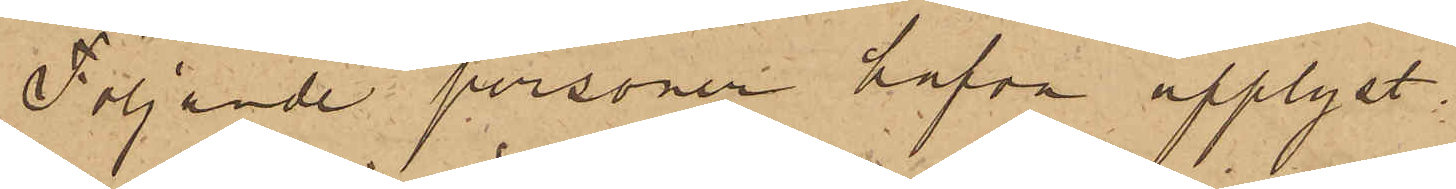Följande personer hafva upplyst
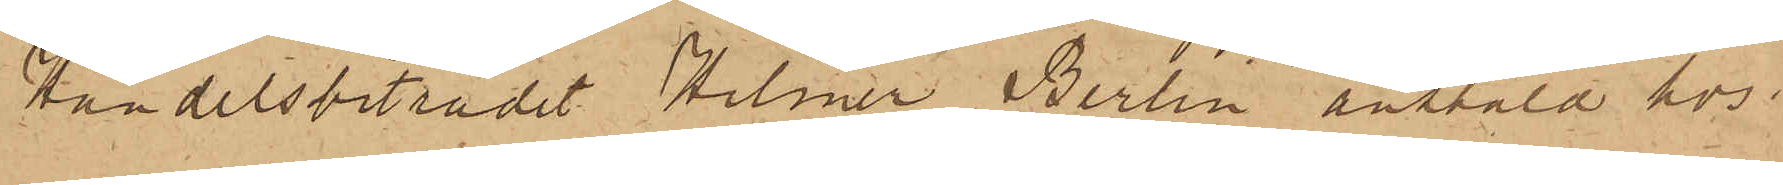Handelsbiträdet Hilmer Berlin anstäld hos
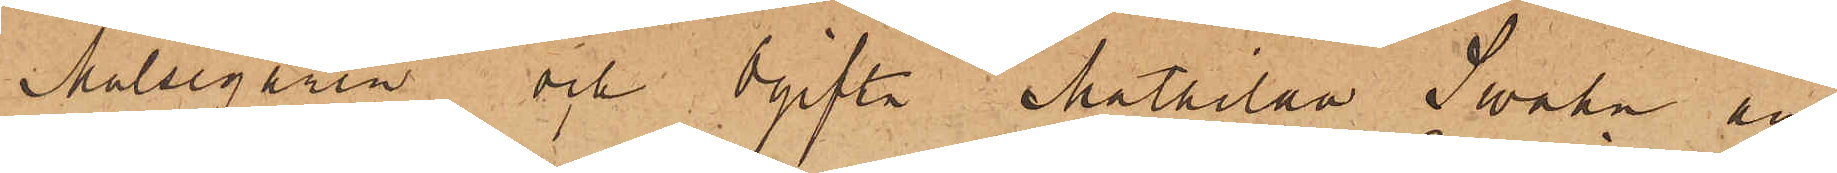Målsegaren och Ogifta Mathilda Swahn an¬
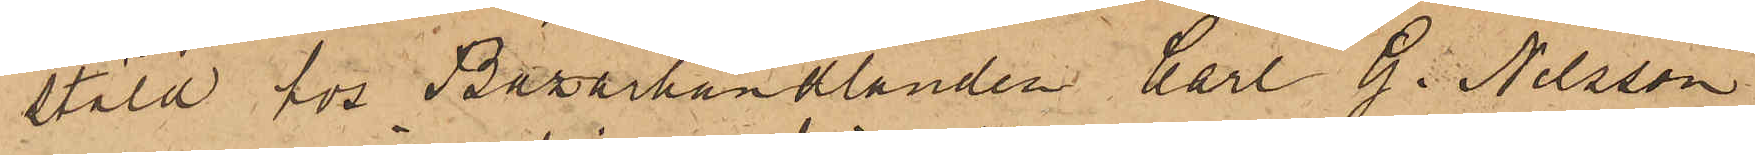stäld hos Bazarhandlanden Carl G. Nilsson
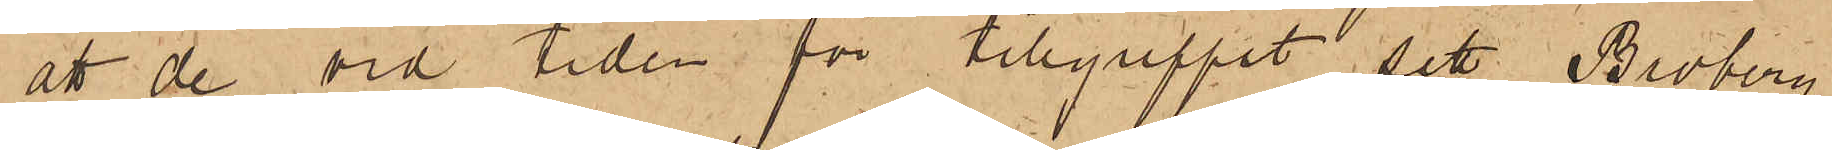att de vid tiden för tillgreppet sett Broberg
